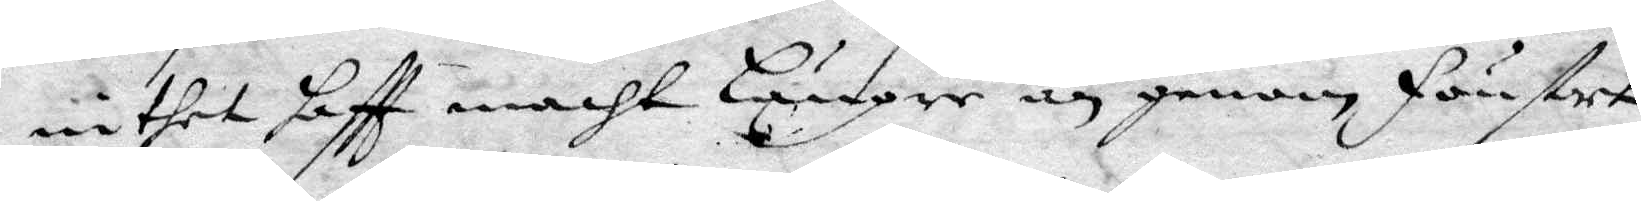intet haftt macht Längre än genom fönstre
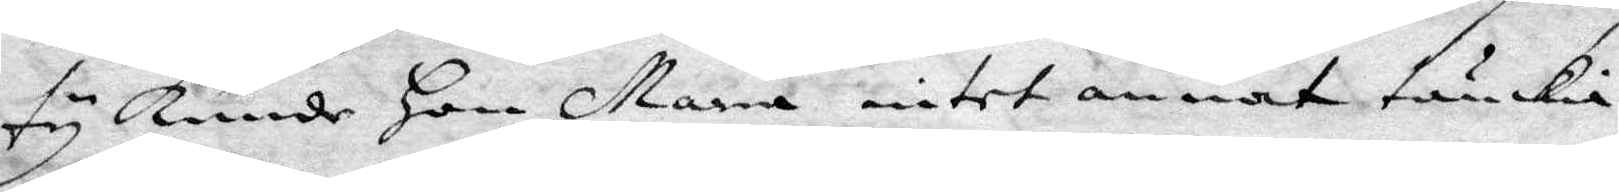ty kunde Hon Maria intet annat tänkia
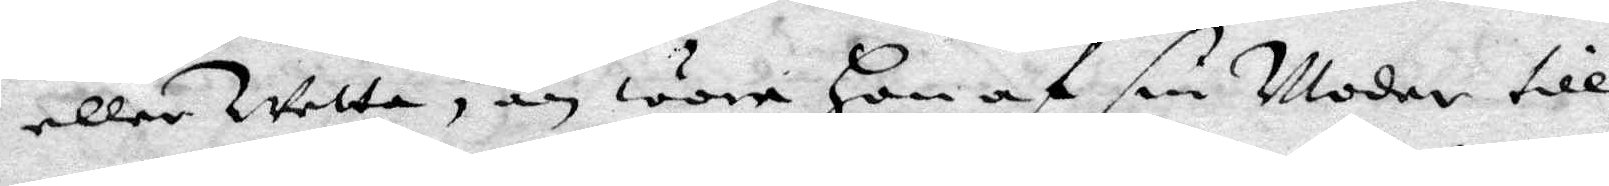eller wetta, än wore Hon af sin Moder till
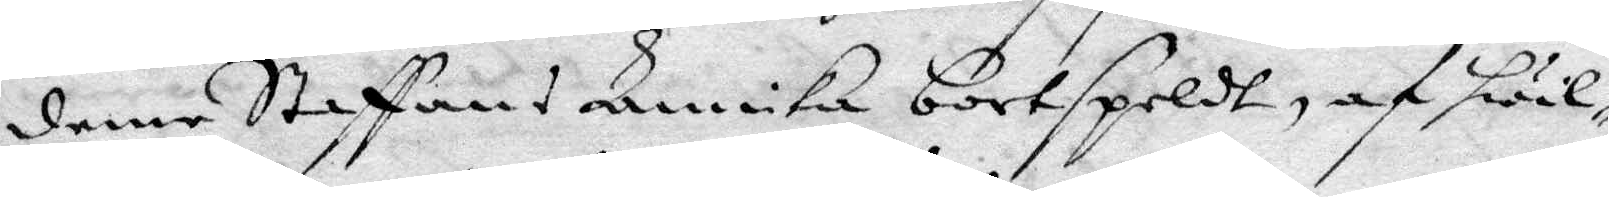denne Staffans Annika bortspeldt, af hwil¬
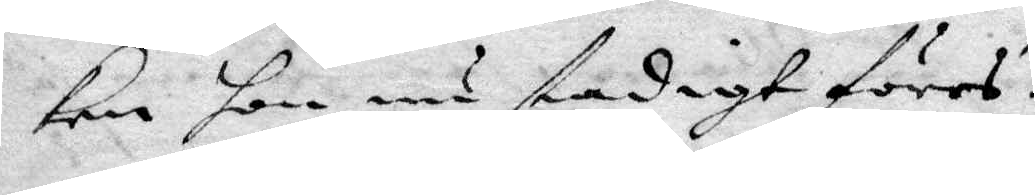ken hon nu stadigt föres.
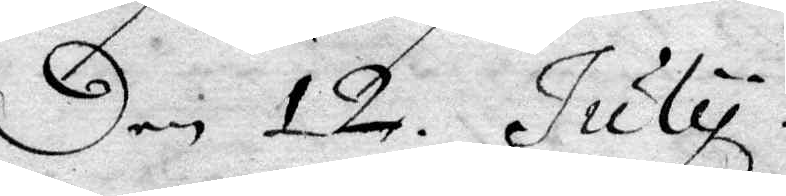Den 12 July.
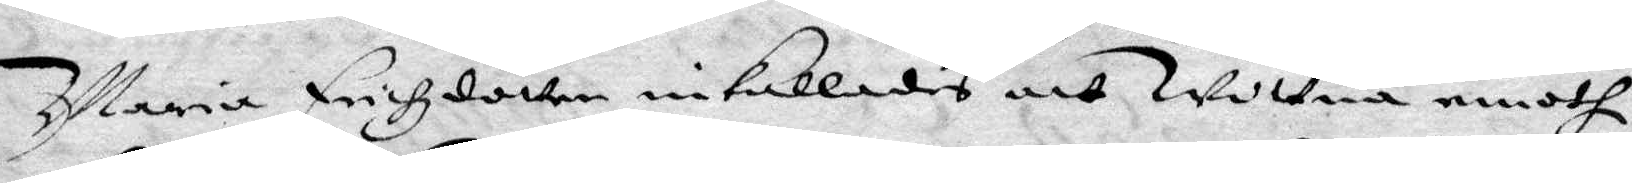Maria Erichzdotter inkallades att wittna emoth
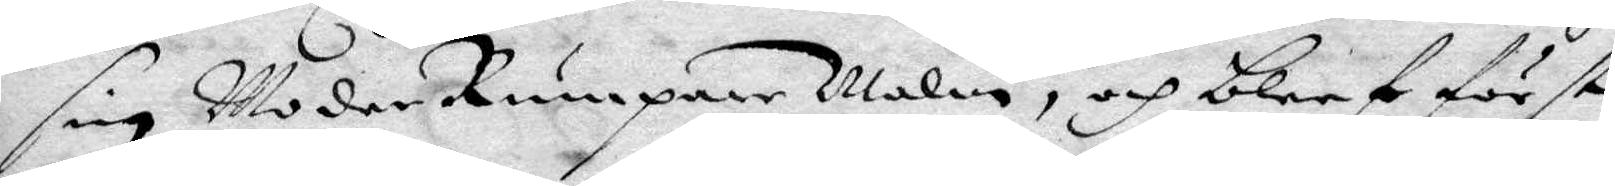sin Moder Rumpare Malin, och blef först
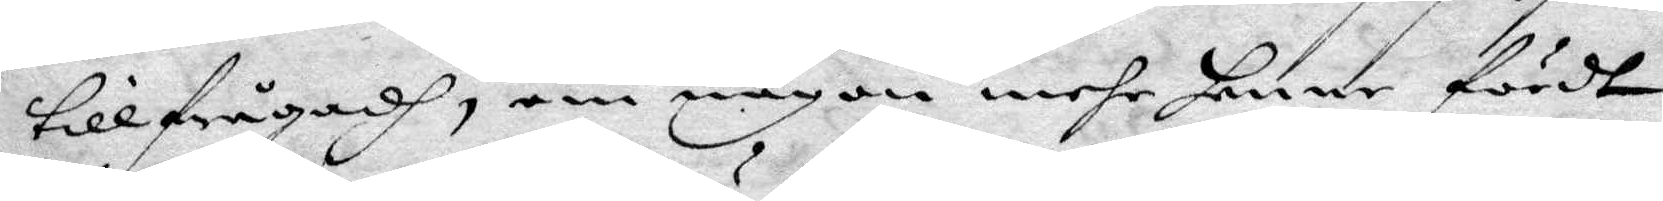tillfrågadh, om någon mehr henne fördt
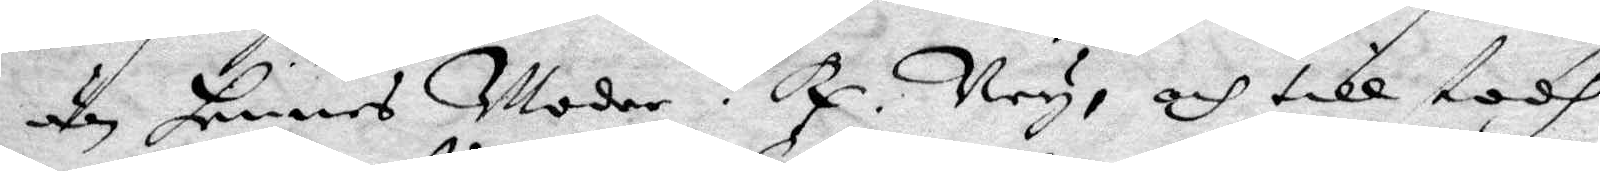är hennes Moder? Ney, och tillstodh
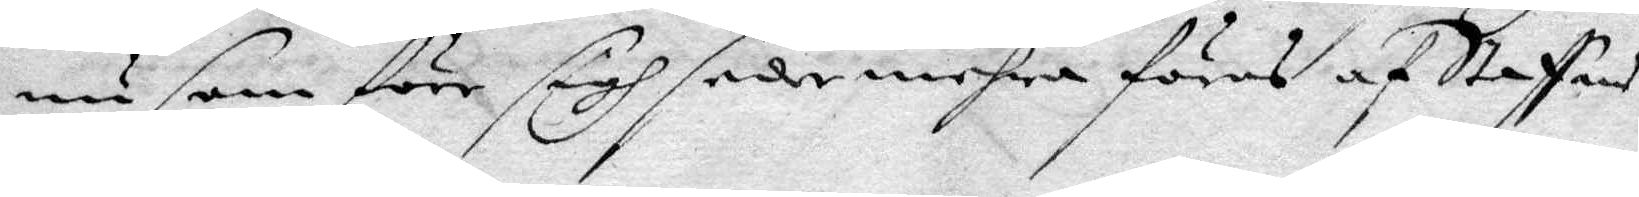nu som före sigh sedermehra föras af Staffans
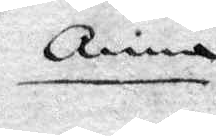Anna
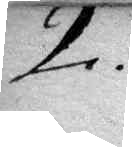2.
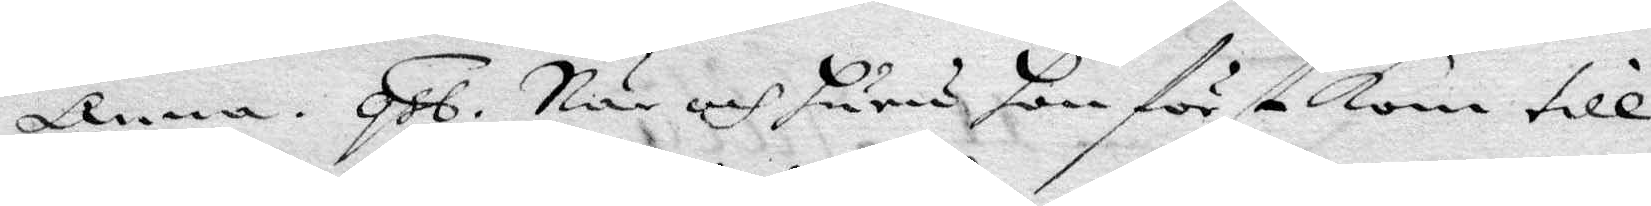Anna. qst. När och huru hon först kom till
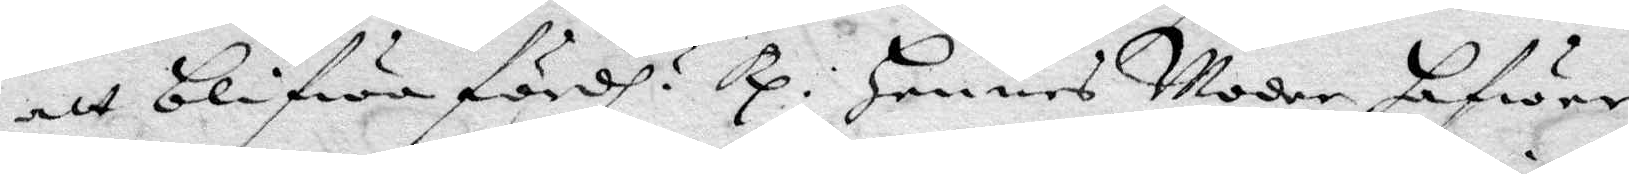att blifwa fördh? Rp: Hennes Moder hafwer
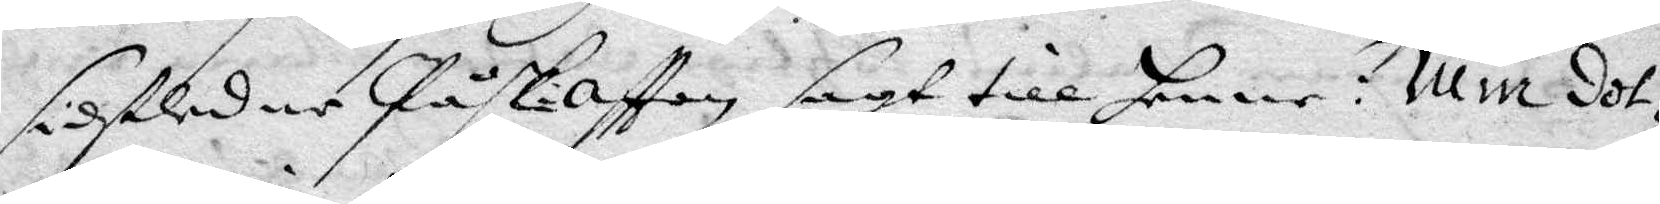sidstledne Påsk-afton sagt till henne: Min dot¬
